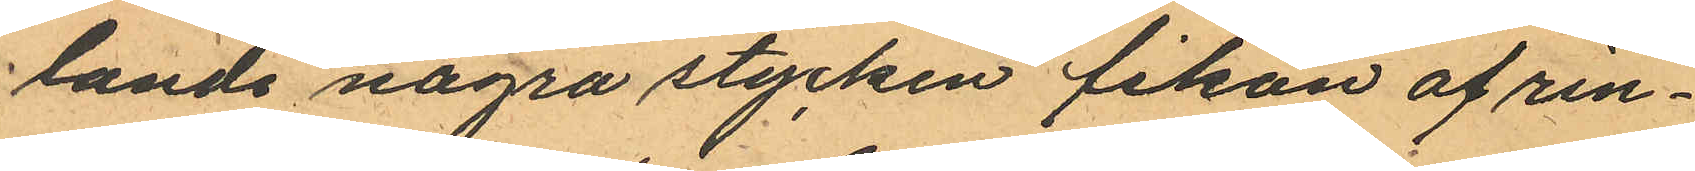lande några stycken fikon af rin¬
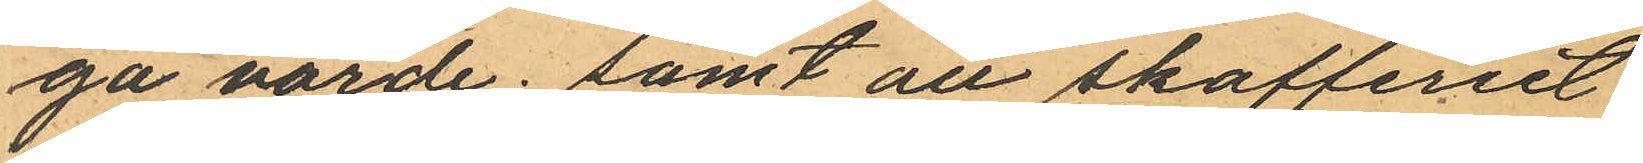ga värde; samt att skafferiet
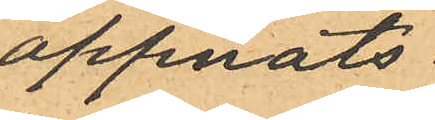öppnats
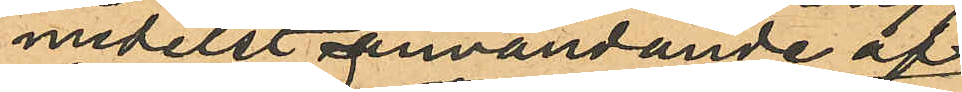medelst användande af
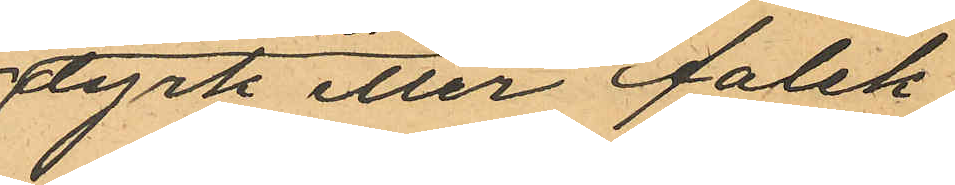dyrk eller falsk
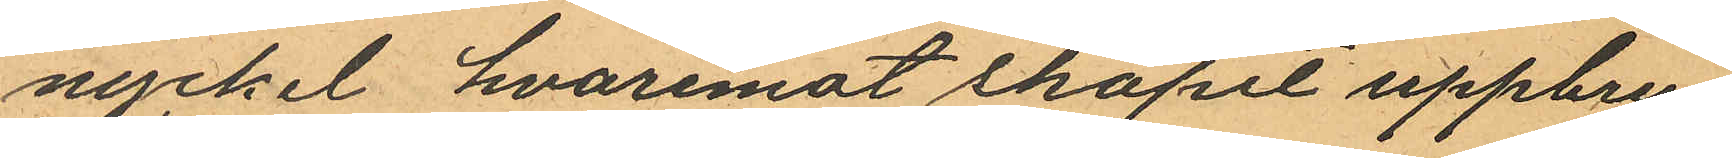nyckel, hvaremot skåpet uppbru¬
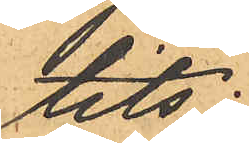tits;
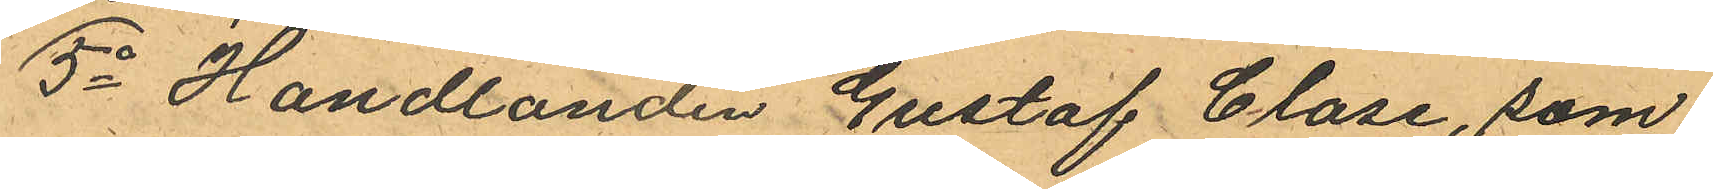5o Handlanden Gustaf Clase, som
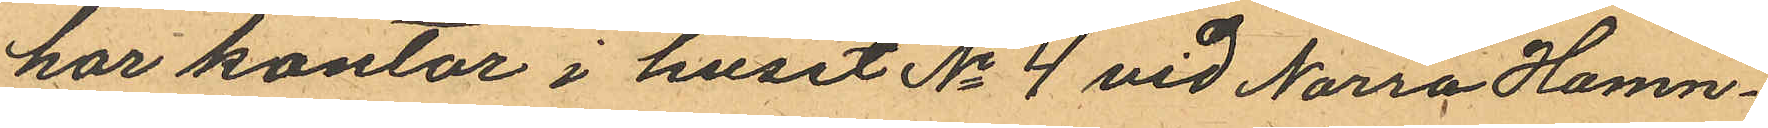har kontor i huset No 4 vid Norra Hamn¬
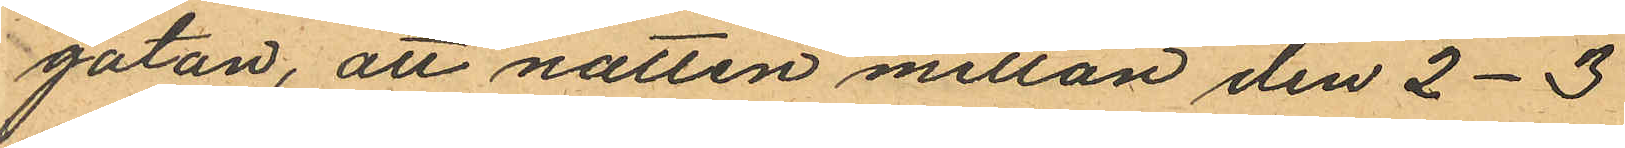gatan, att natten mellan den 2-3
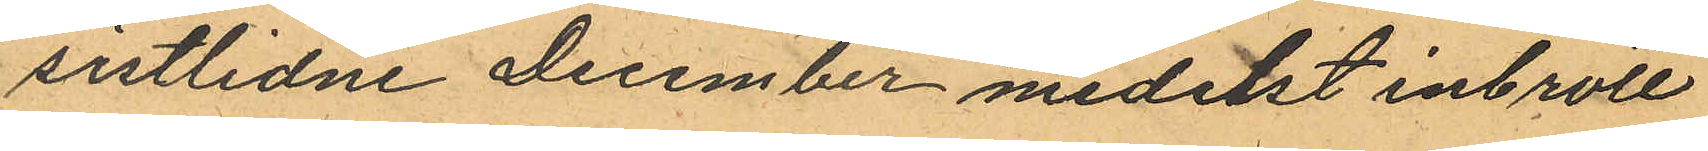sistlidne December medelst inbrott
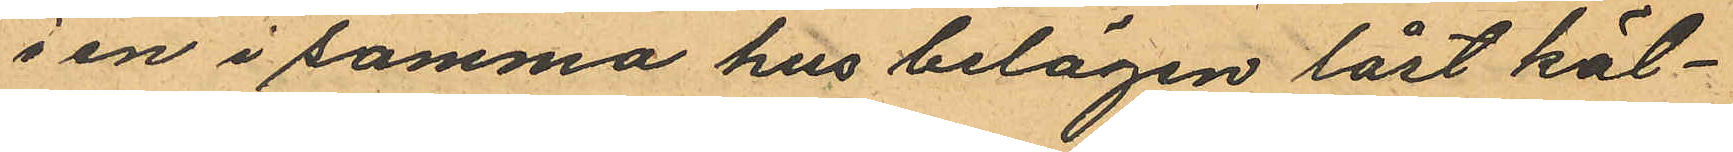i en i samma hus belägen låst käl¬
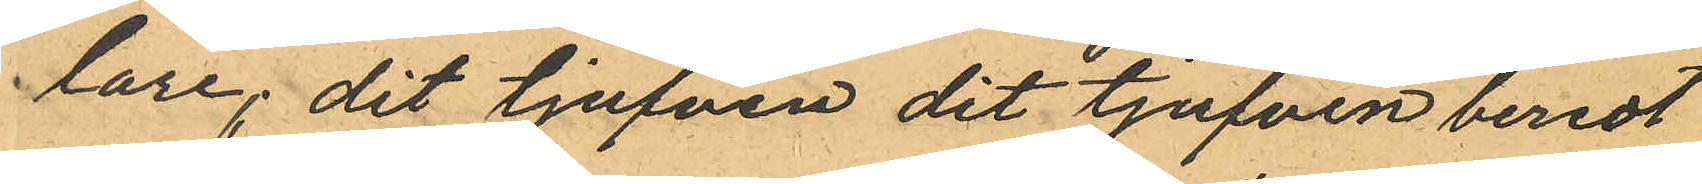lare; dit tjufven dit tjufven beredt
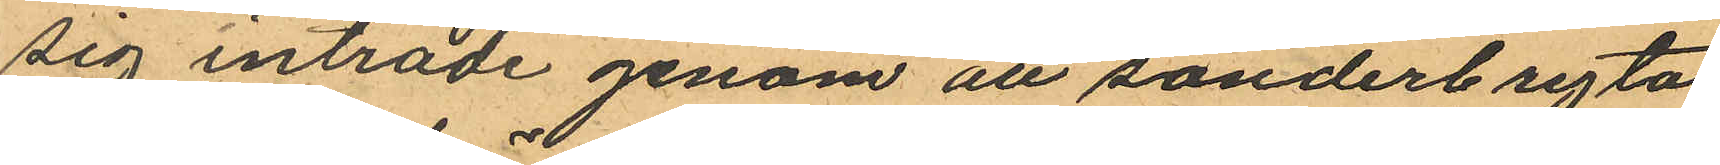sig inträde genom att sönderbryta
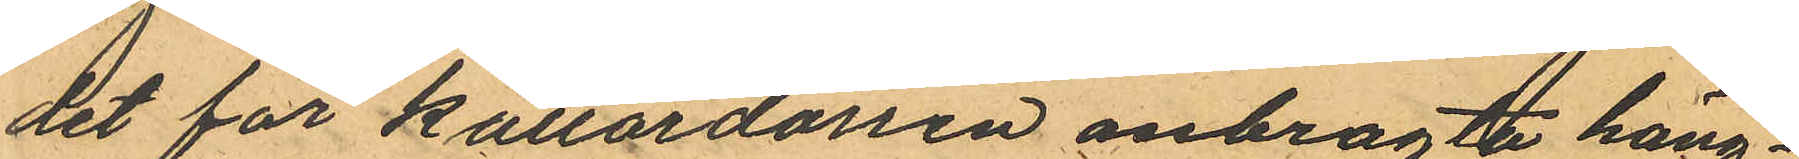det för källardörren anbragta häng¬
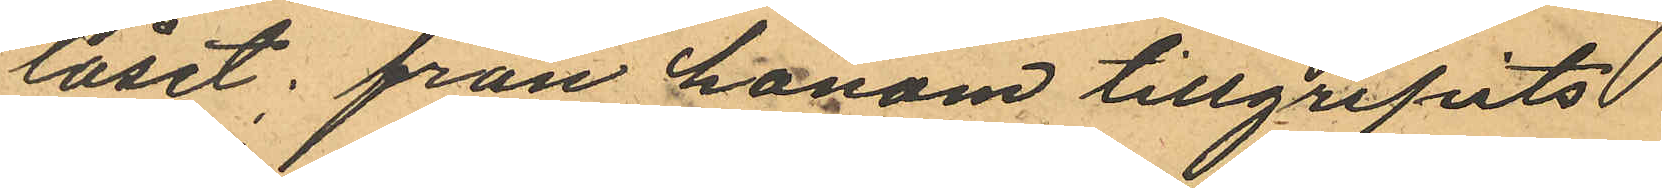låset; från honom tillgripits
